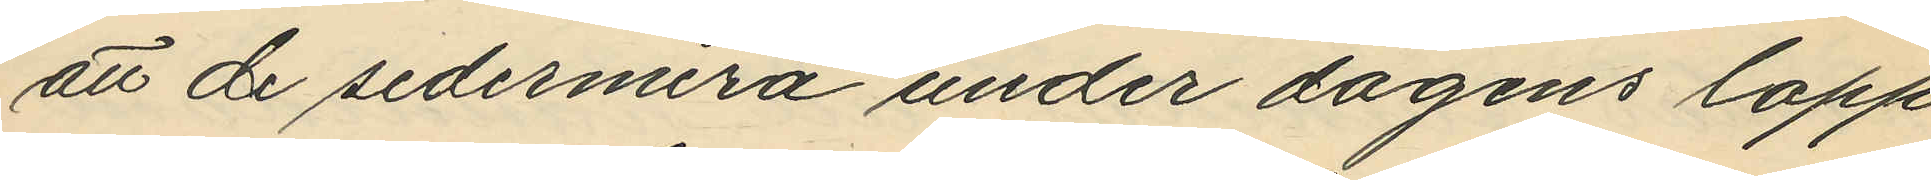att de sedermera under dagens lopp
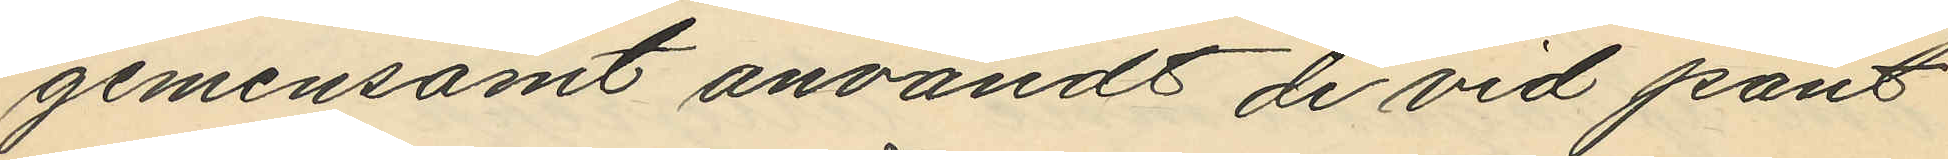gemensamt användt de vid pant¬
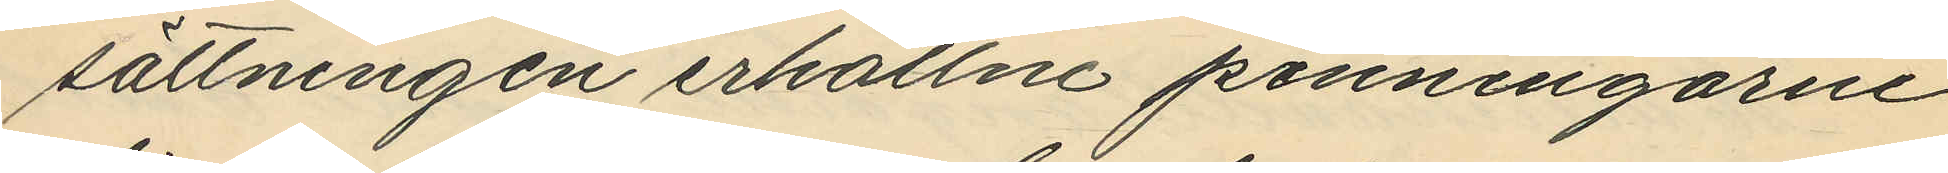sättningen erhållne penningarne
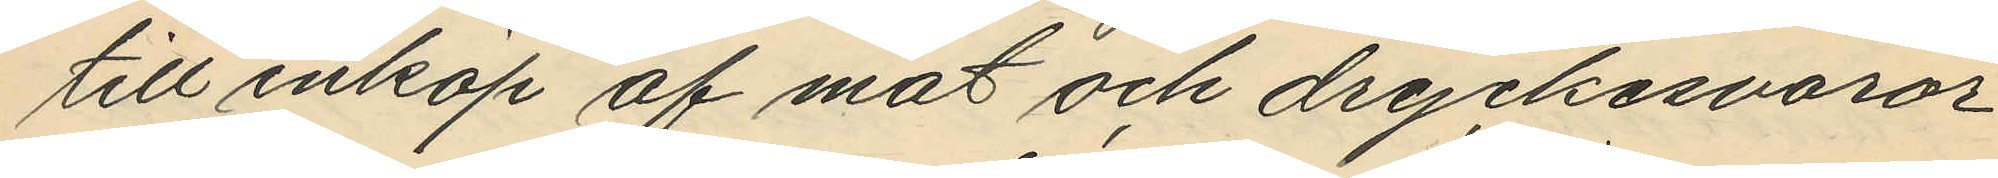till inköp af mat och dryckesvaror
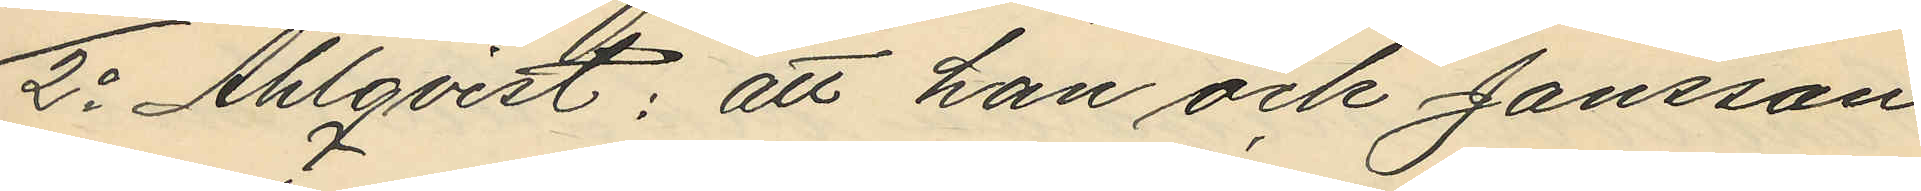2o Ahlqvist: att han och Jansson
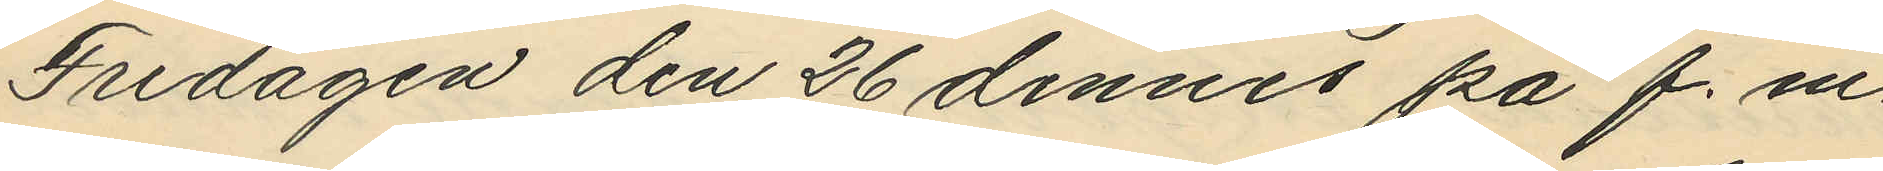Fredagen den 26 dennes på f. m.
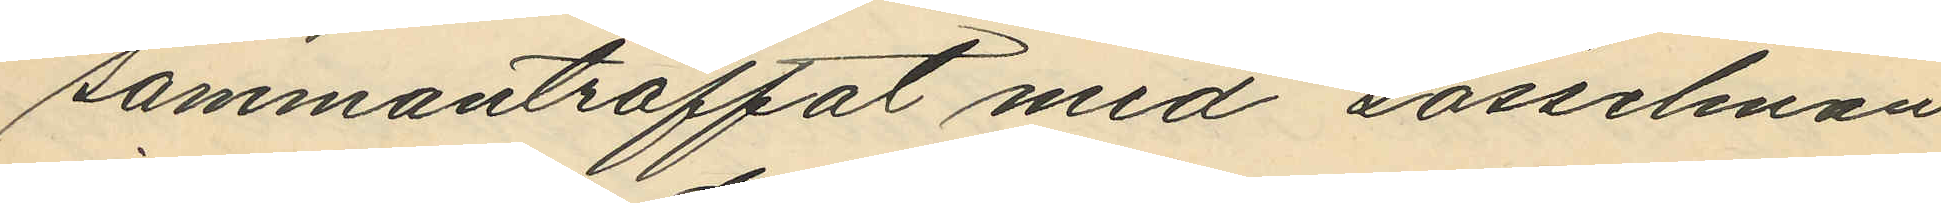sammanträffat med Gosselman
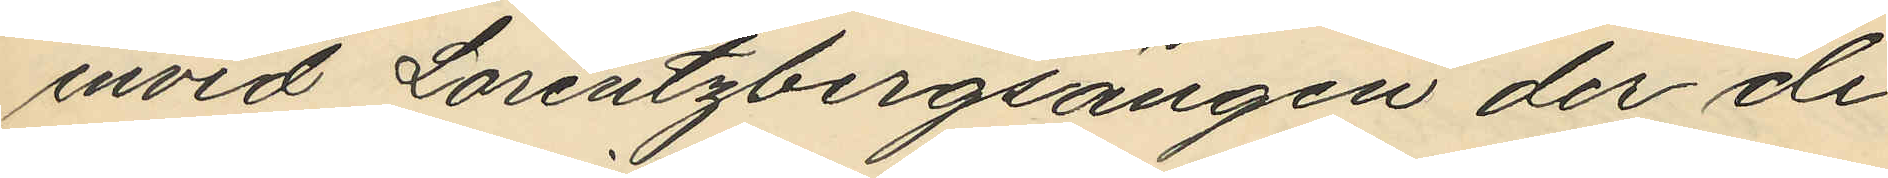invid Lorentzbergsängen der de
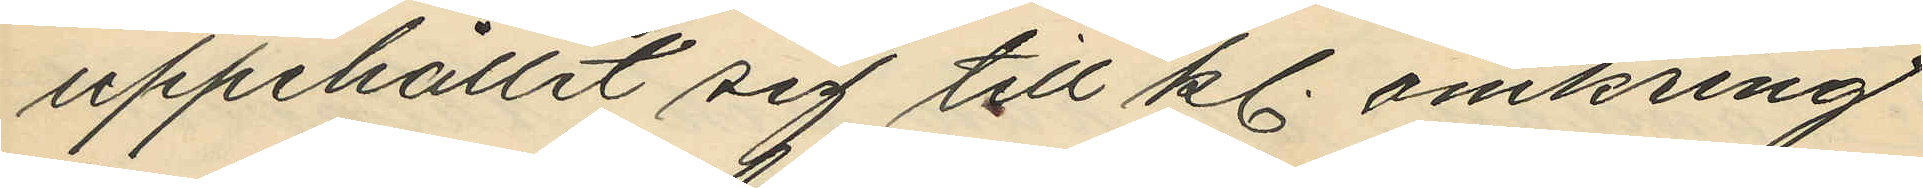uppehållit sig till kl. omkring
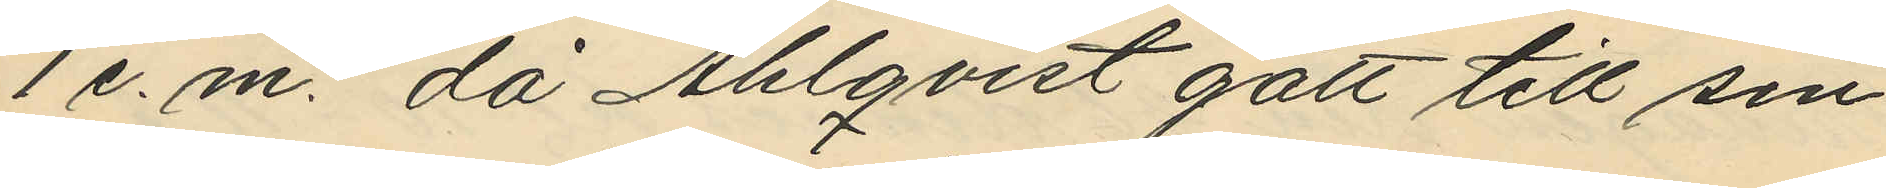1 e.m. då Ahlqvist gått till sin
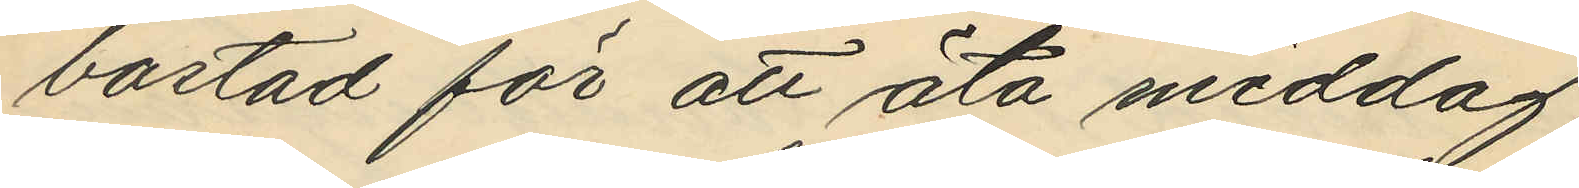bostad för att äta middag;
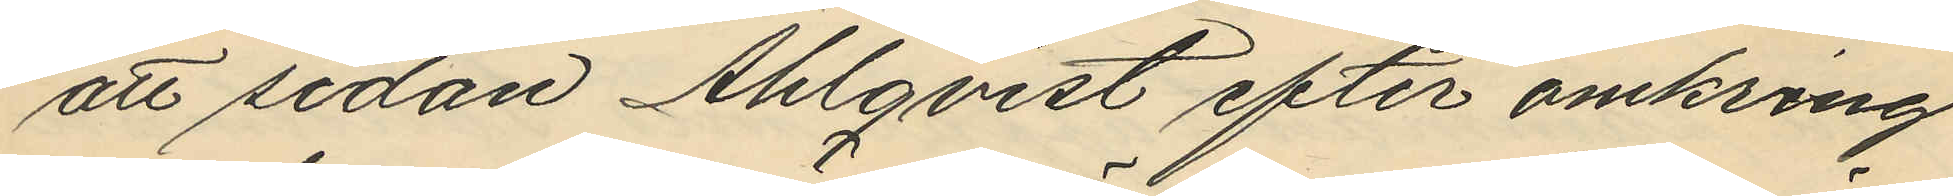att sedan Ahlqvist efter omkring
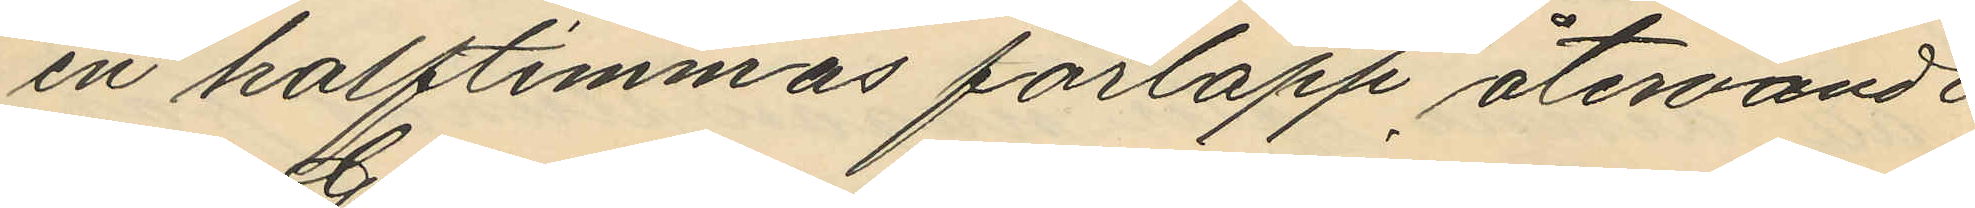en halftimmas förlopp återvändt
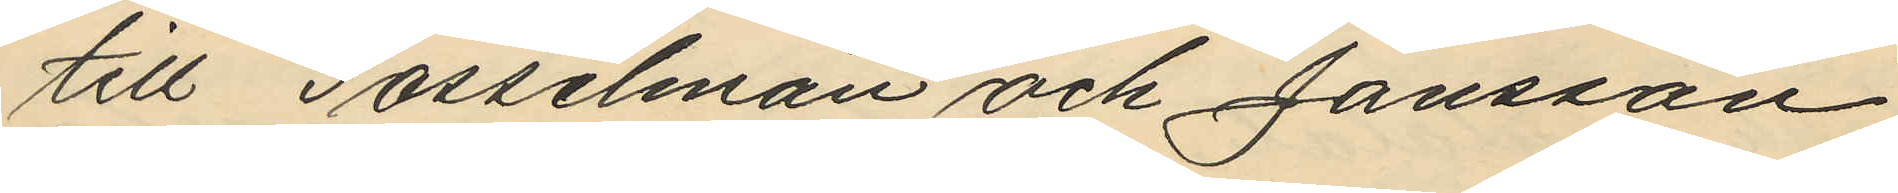till Gosselman och Jansson
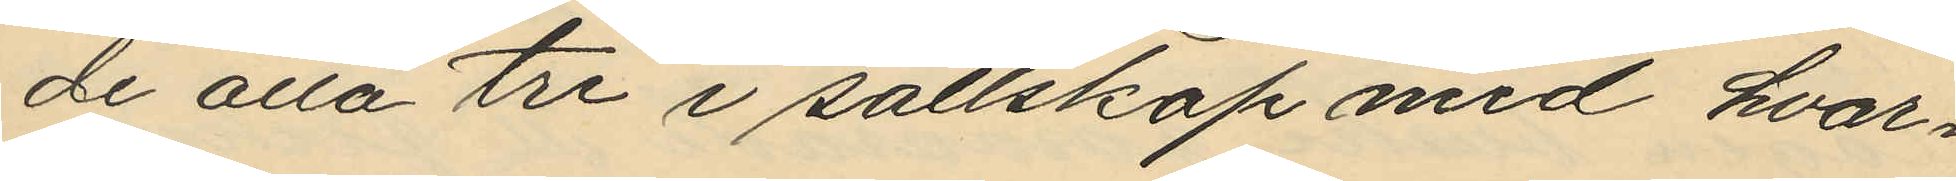de alla tre i sällskap med hvar¬
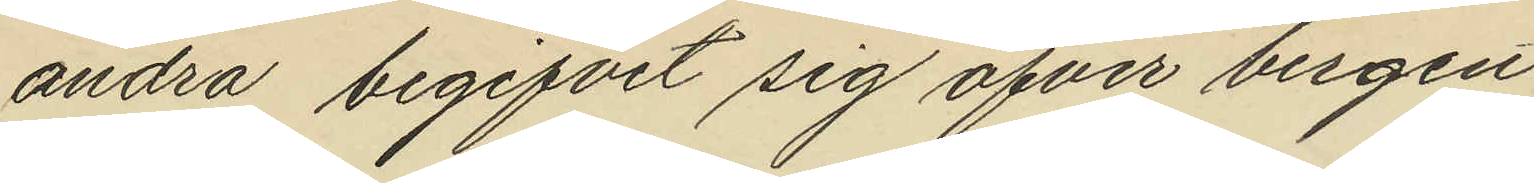andra begifvit sig öfver bergen
